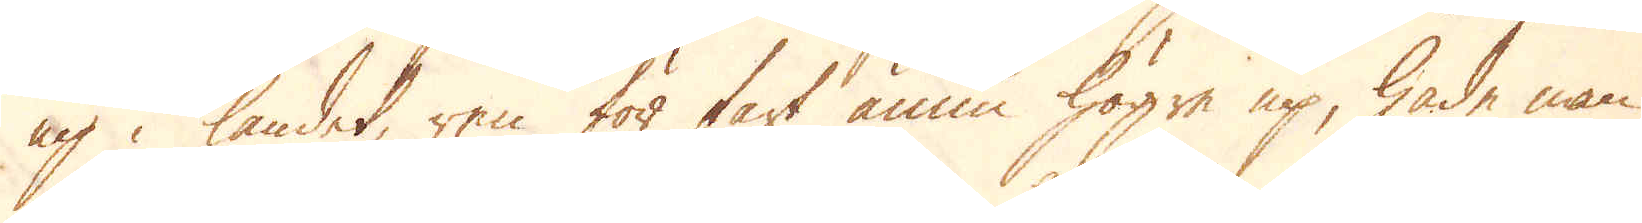up i landet, ren för fart ännu högre up, hade man
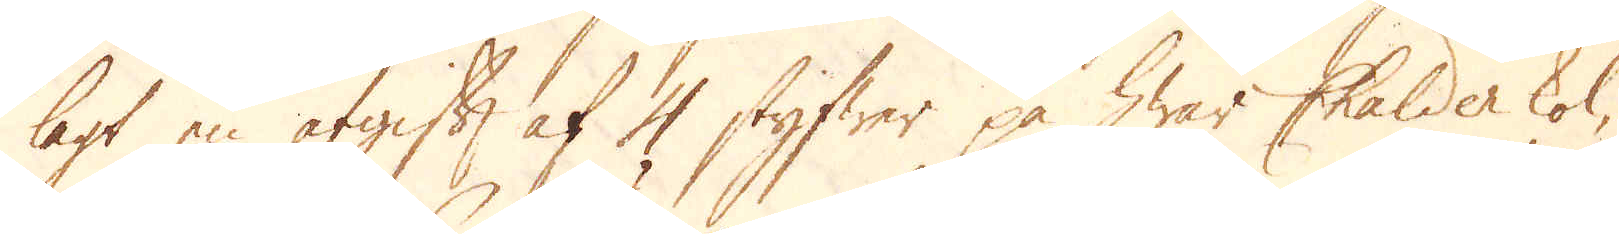lagt en afgift af 4 styfwer på hwar Chalder kol,
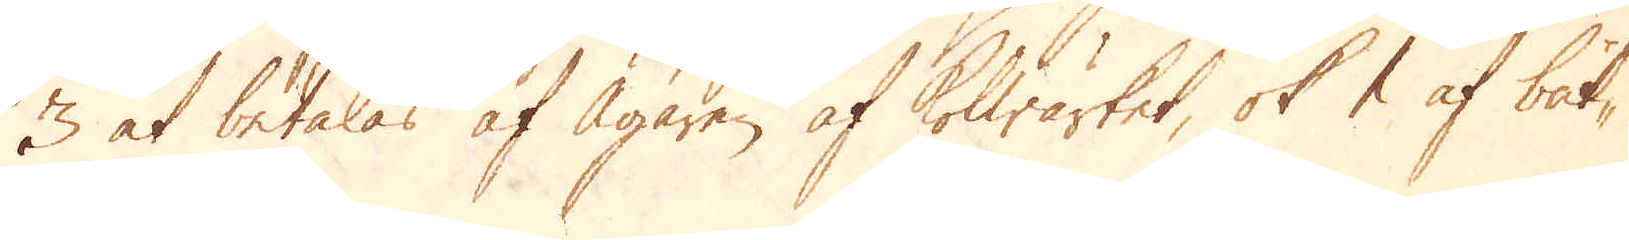3 at betalas af Ägaren af Kolwärket, ok 1 af båt-
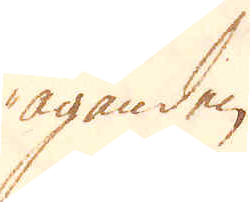äganden.
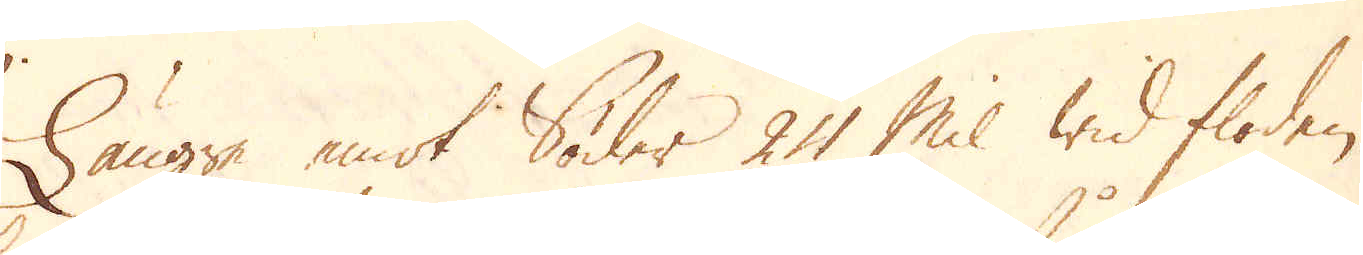Längre emot Söder 24 Mil wid floden
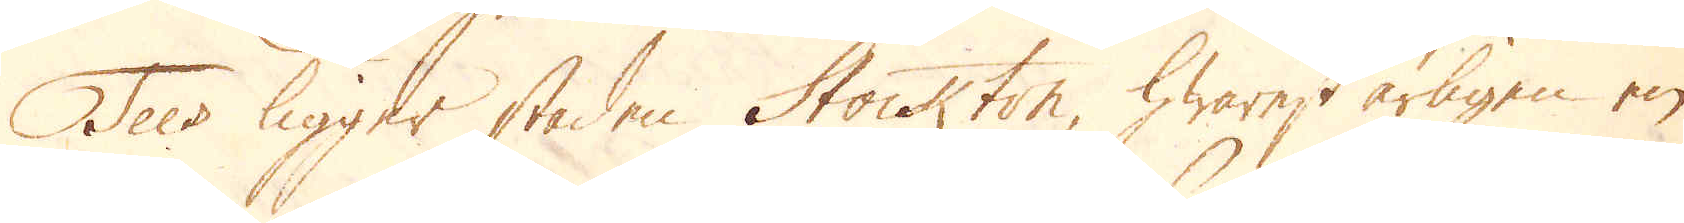Tees ligger staden Stockton, hwarest årligen en
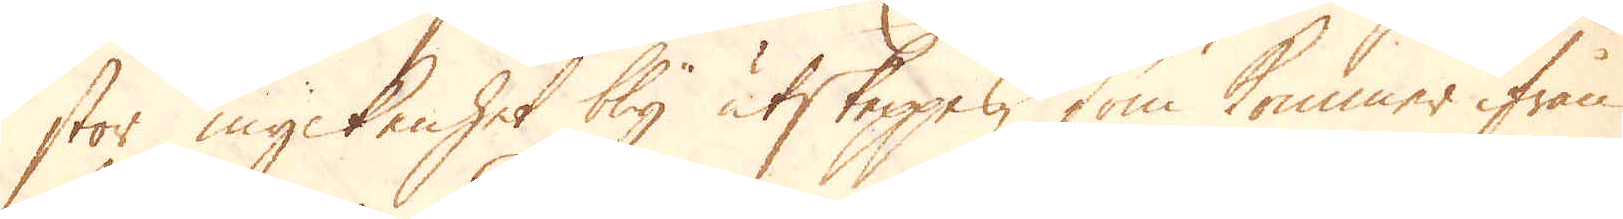stor myckenhet bly utskeppes, som kommer ifrån
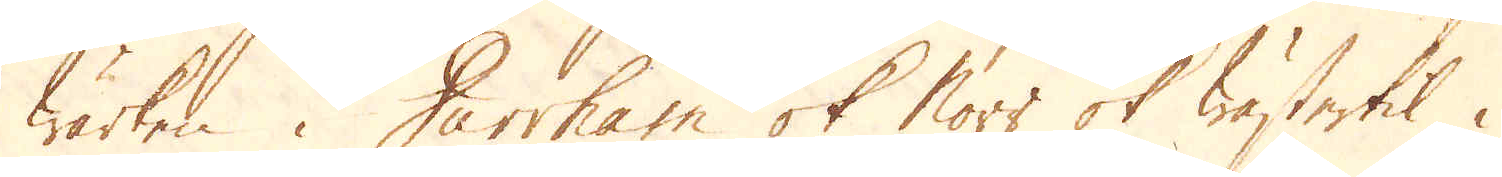wärken i Durrham ok Norr ok wästertil i
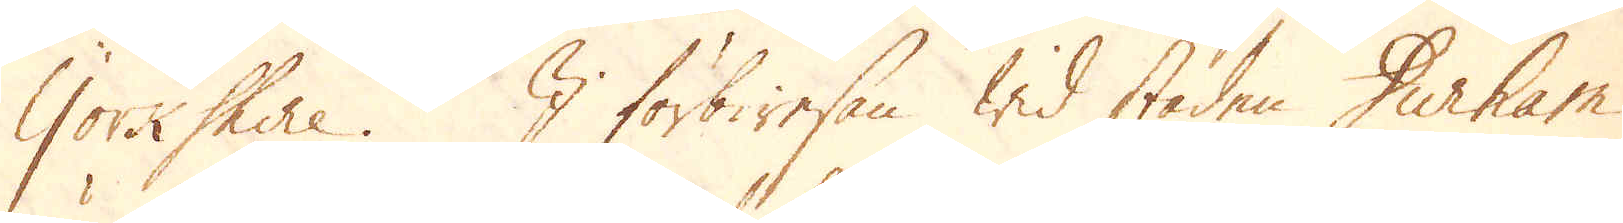Yorkshire. I förbiresan wid staden Durham
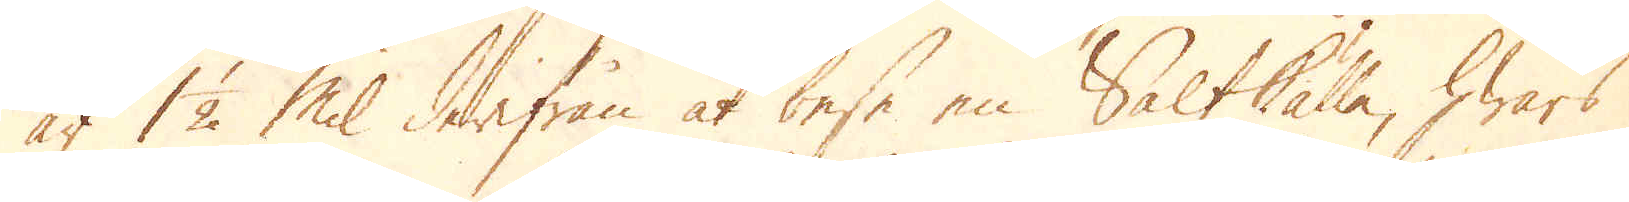är 1 1/2 mil derifrån at bese en Saltkälla, hwars
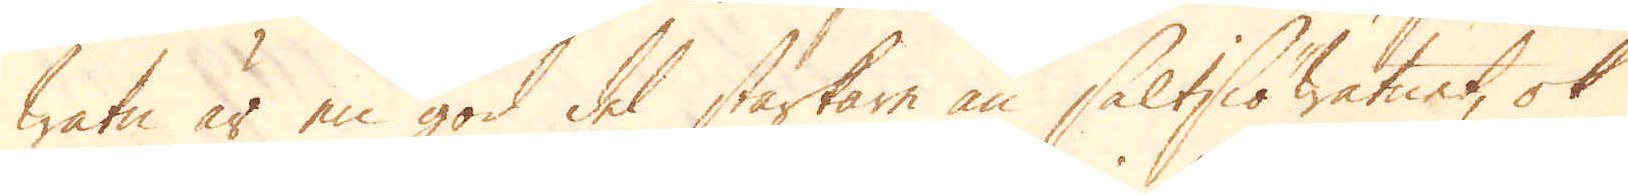watn är en god del starkare än Saltsiöwatnet, ok
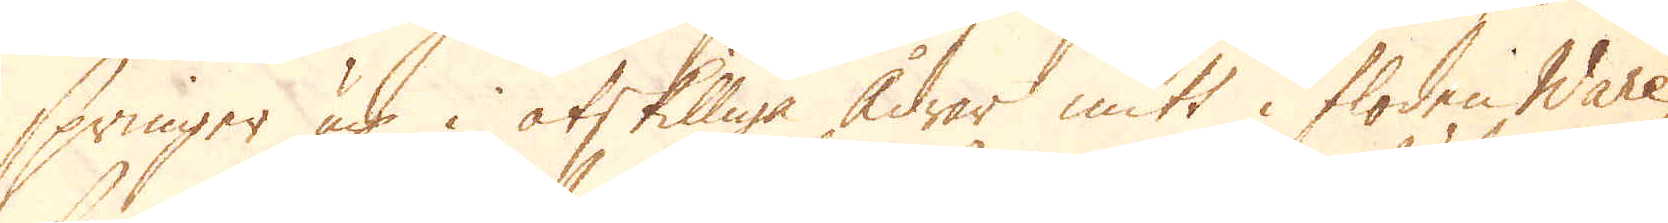springer up i åtskilliga ådror mitt i floden Ware,
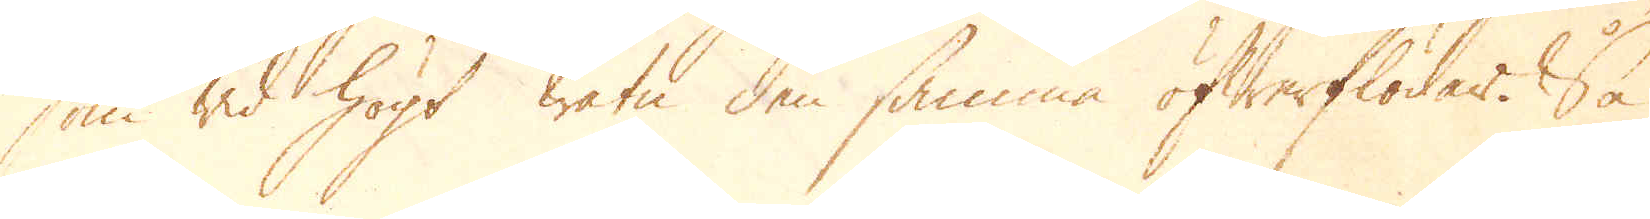som wid högt watn den samma öfwerflödar. Så
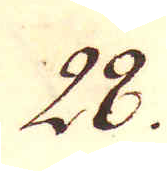28.
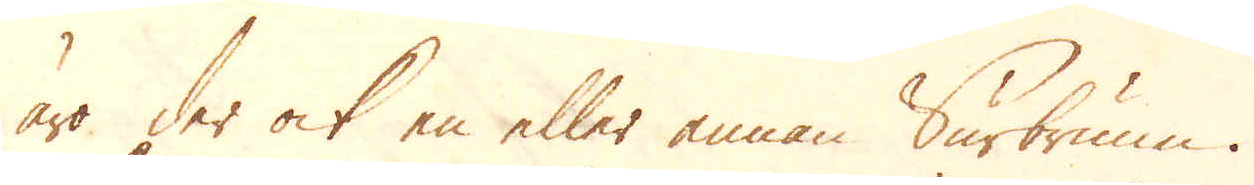äro der ock en eller annan Surbrunn.
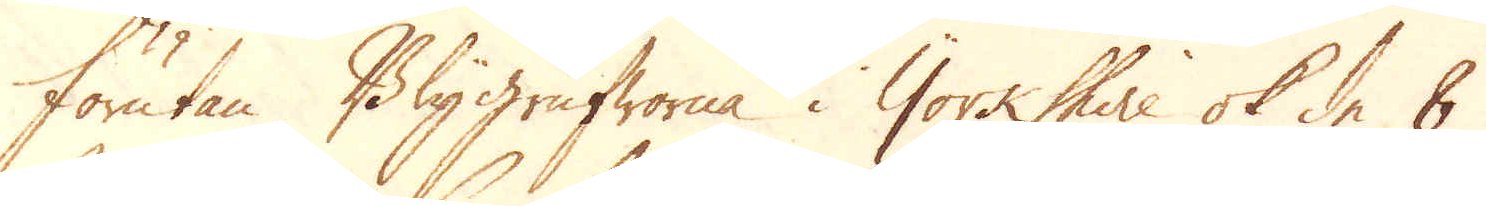Förutan Blygrufworna i Yorkshire ok de 8
